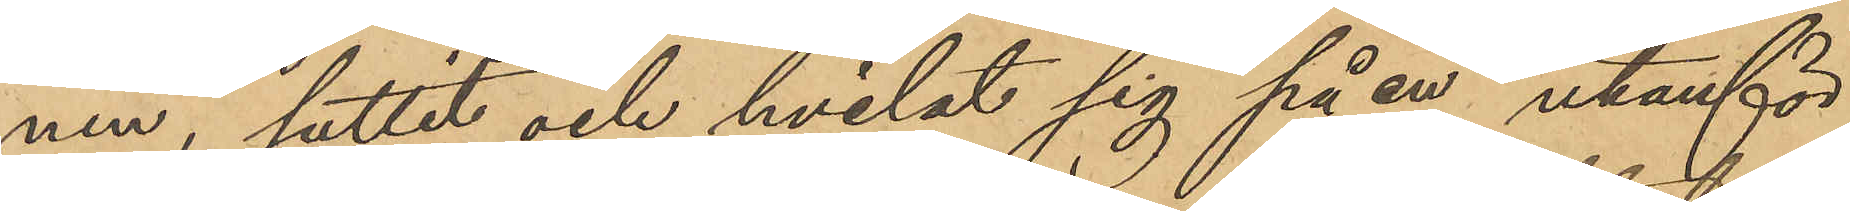nen, suttit och hvilat sig på en utanför
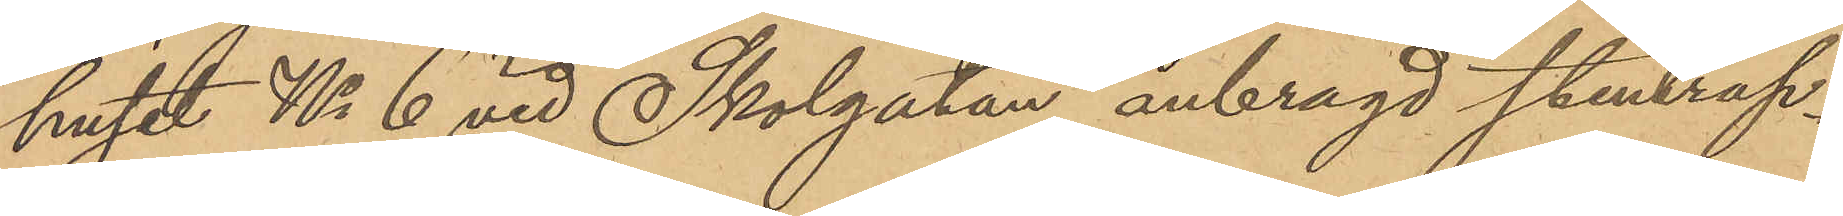huset No 6 vid Skolgatan anbragd stentrap¬
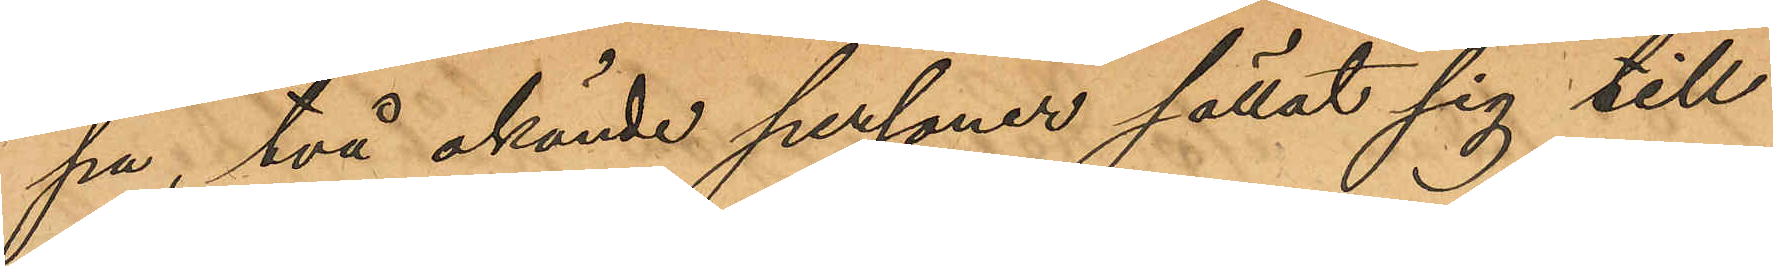pa, två okände personer sällat sig till
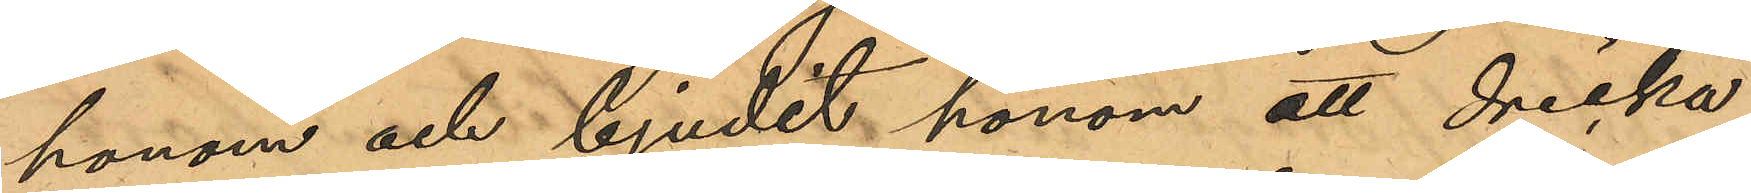honom och bjudit honom ett dricka
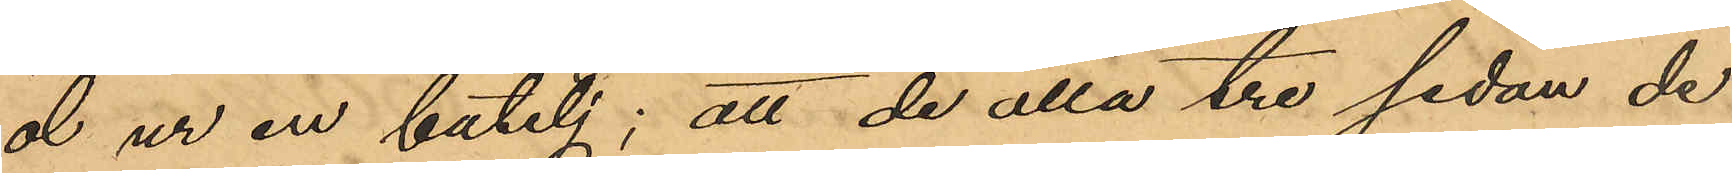öl ur en butelj; att de alla tre sedan de
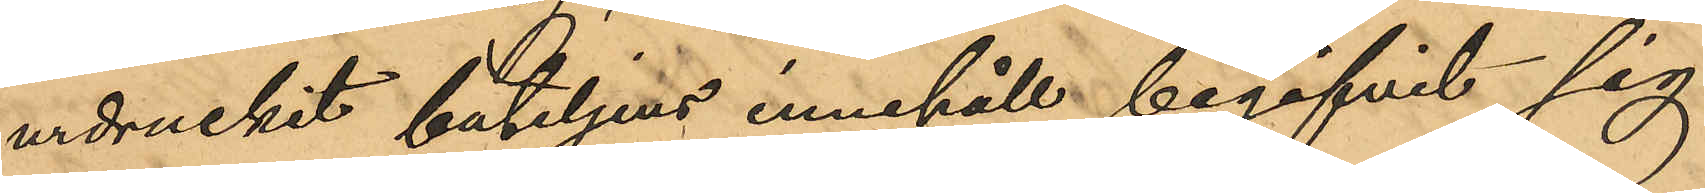urdruckit buteljens innehåll begifvit sig
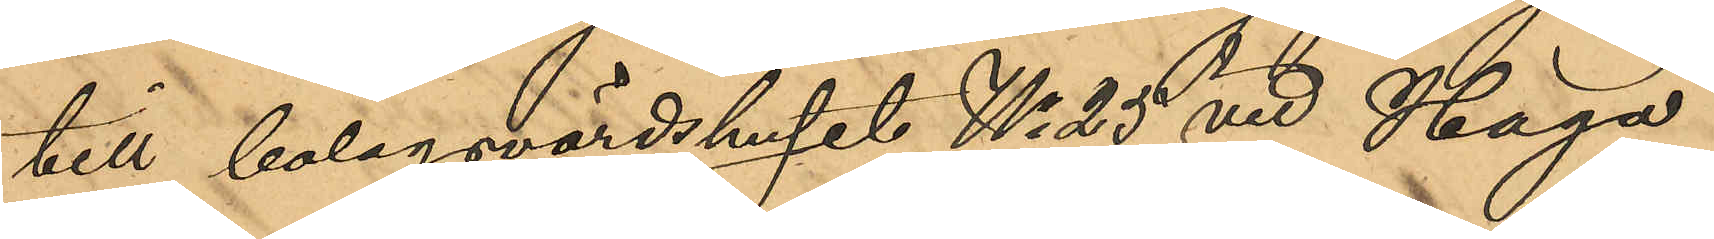till bolagsvärdshuset No 25 vid Haga
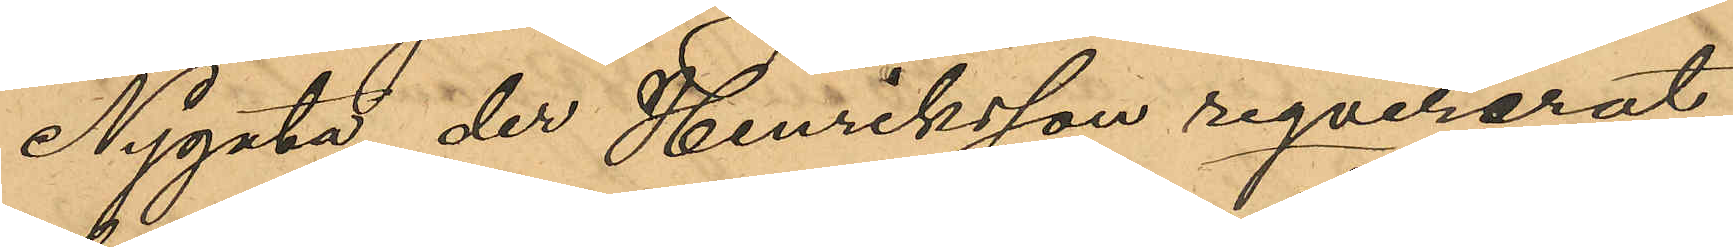Nygata, der Henriksson reqvirerat
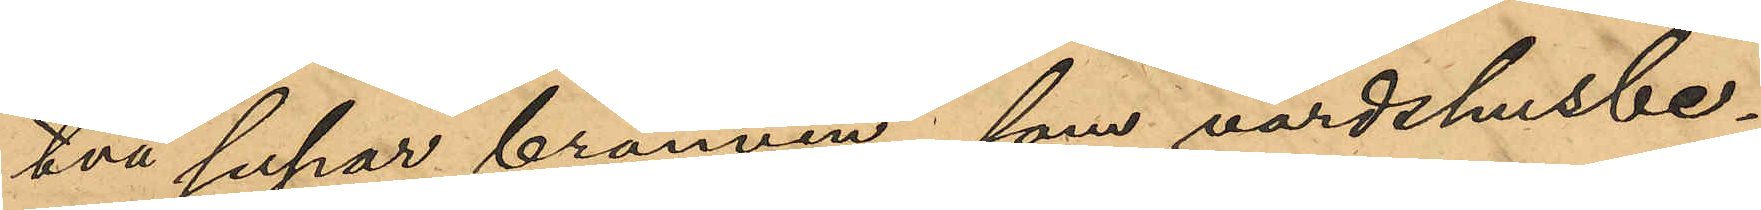två supar brännvin, som värdshusbe¬
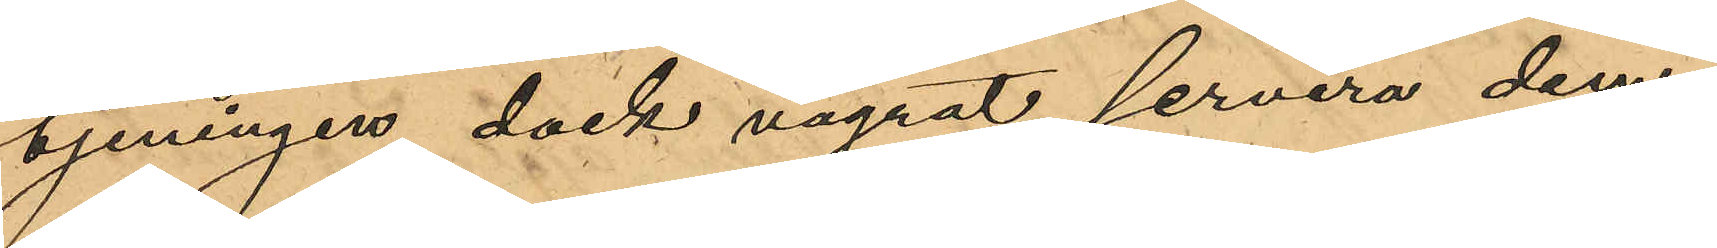tjeningen dock vägrat servera dem;
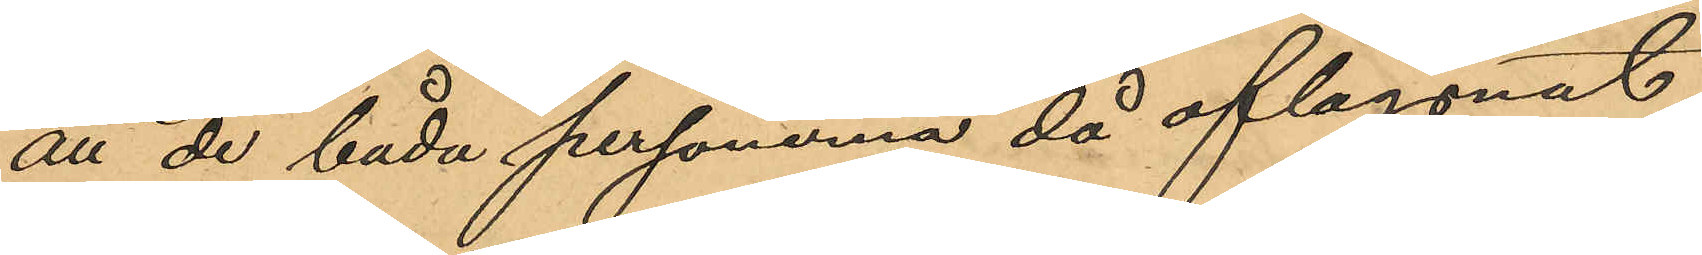att de båda personerna då aflägsnat
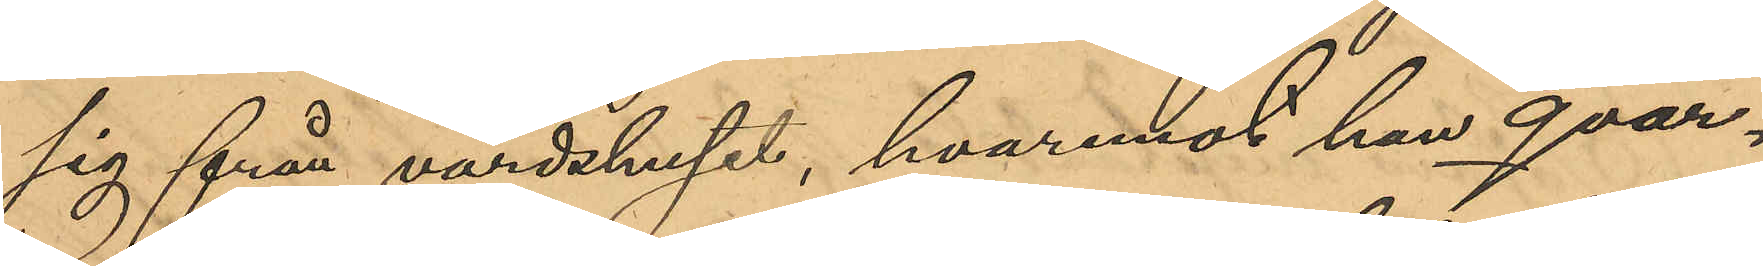sig från värdshuset, hvaremot han qvar¬
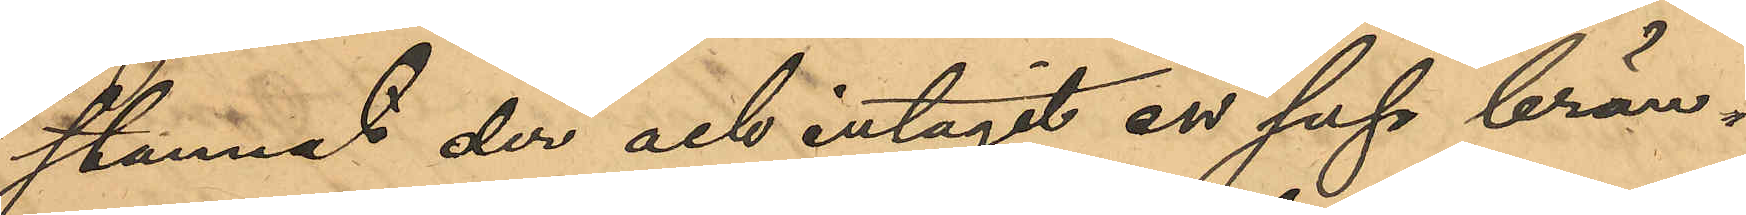stannat der och intagit en sup brän¬
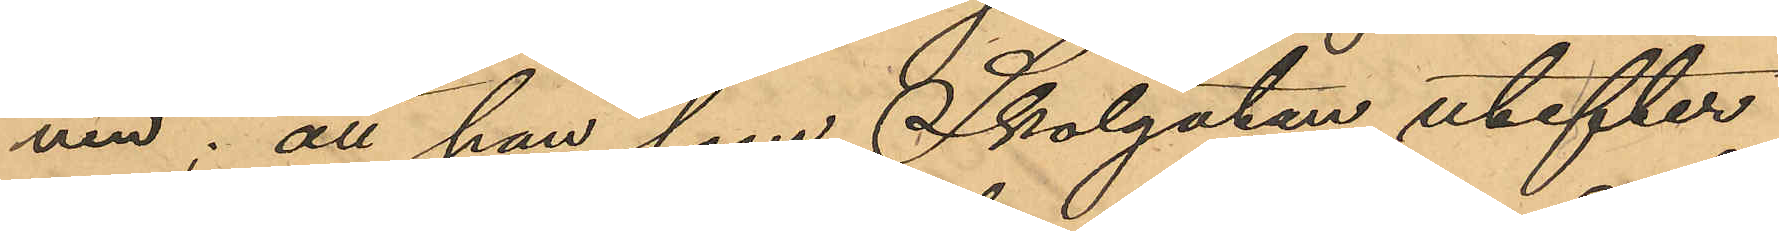vin; att han som Skolgatan utefter
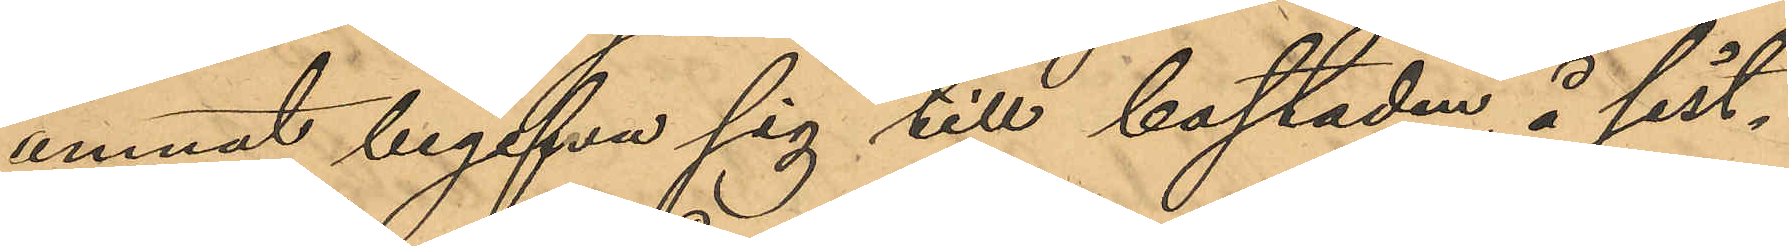ämnat begifva sig till bostaden å sist¬
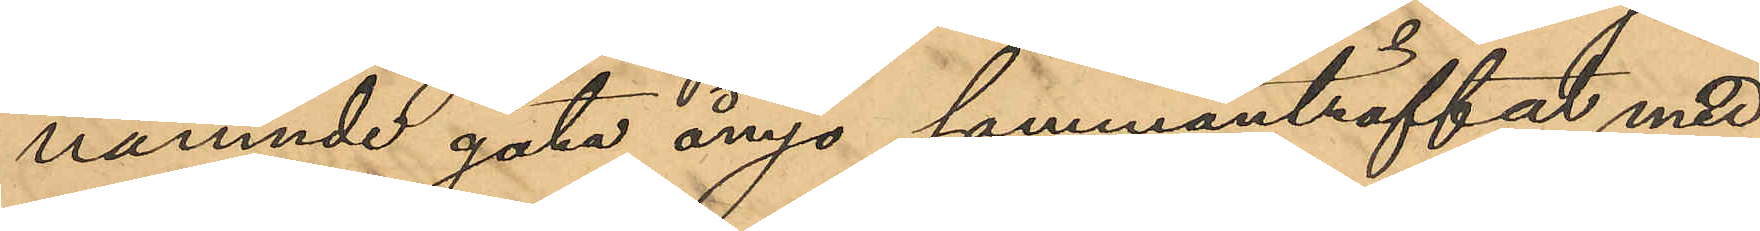nämnde gata ånyo sammanträffat med
